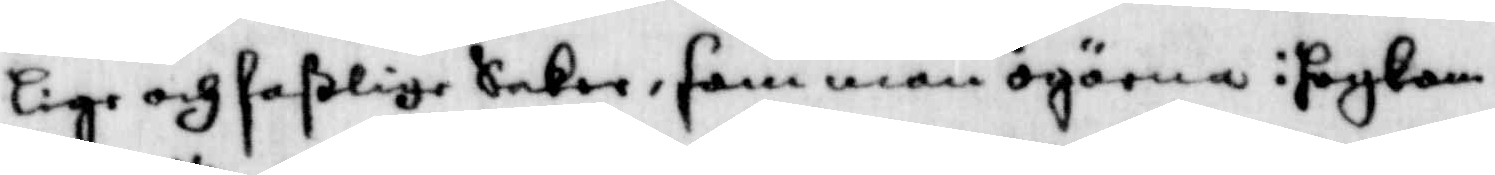lige och faßlige Saker, samman ögarna i Högkom¬
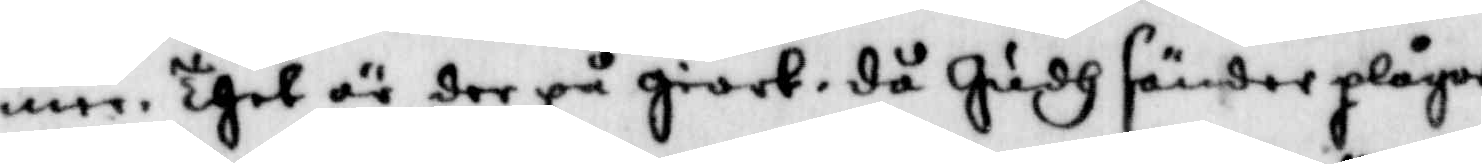men thet är der på giort, då Gudh sänder plägar
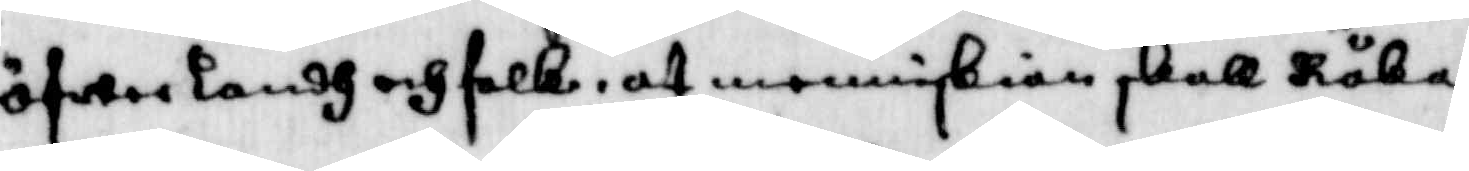öfwerlandh och folk, at menniskian skall Råta
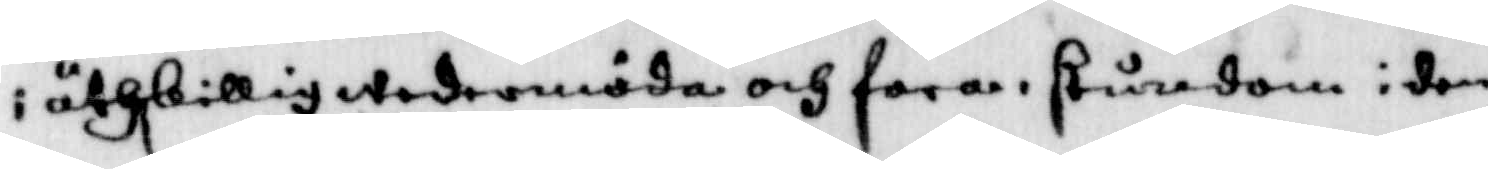i åthskillig wedermöda och fara, stundom i den
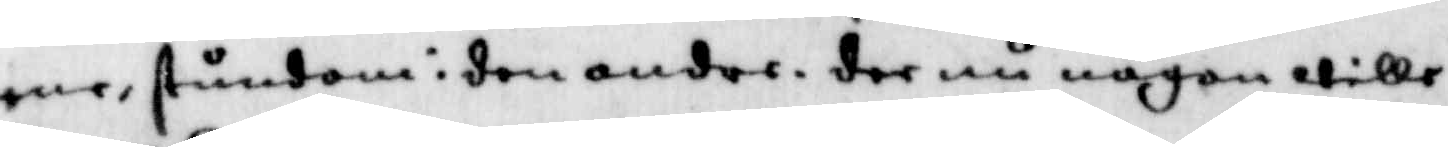ne, stundom i den andra dee nu någon wille
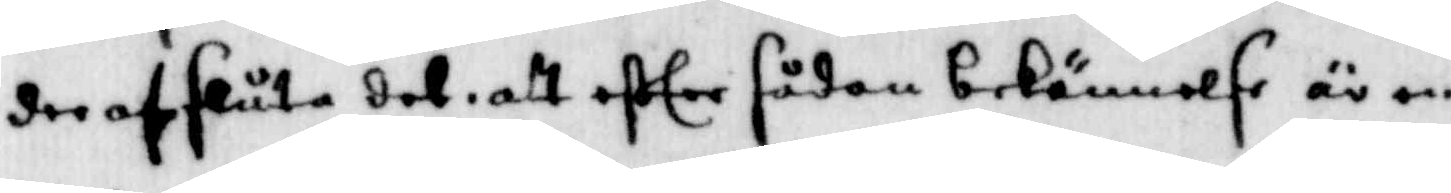der af sluta det att effter sådan bekännelse är en
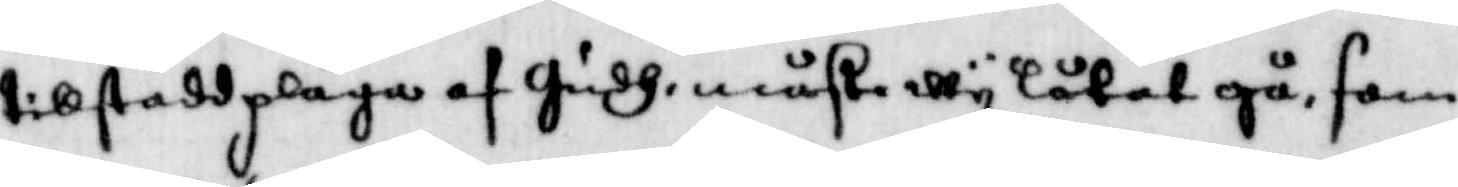tillstod plåga af Gudh, måste wy låtet gå, som
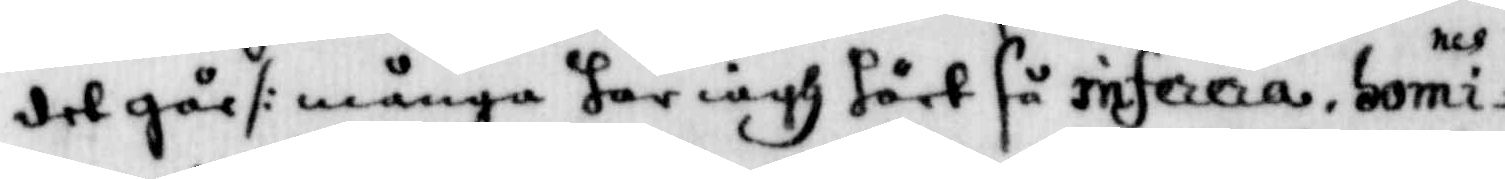det går /: många har iagh hårt så inferera, Comi¬
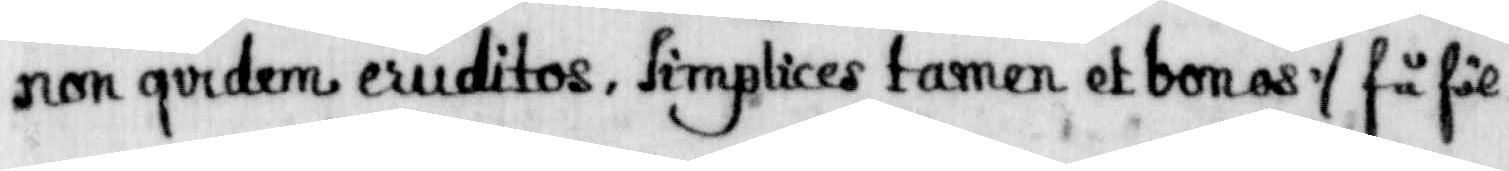sion qvidem eridito, simplices tamen at bonas :/ få föll¬
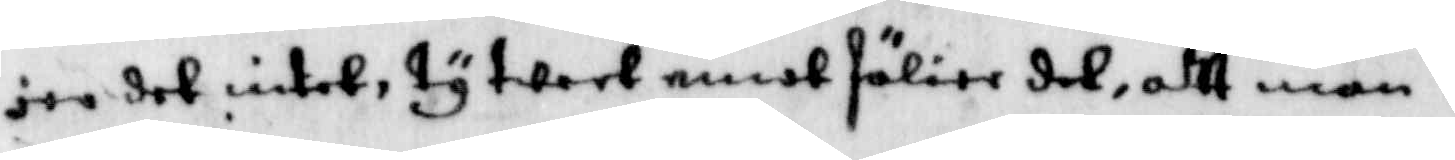ger det intet, ty weet emot fölier det, att man i
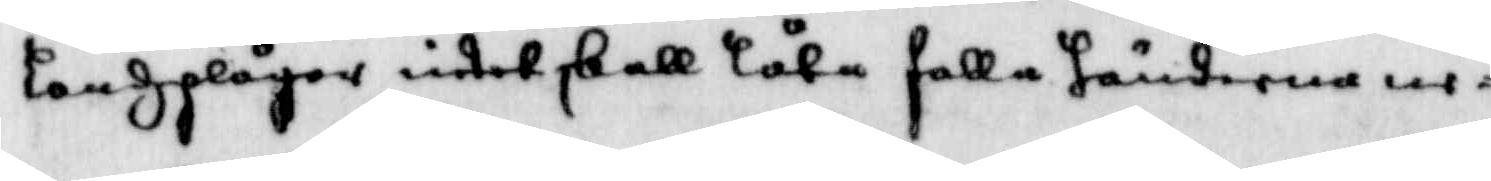landzplågor intet skall låta falla händerne ne¬
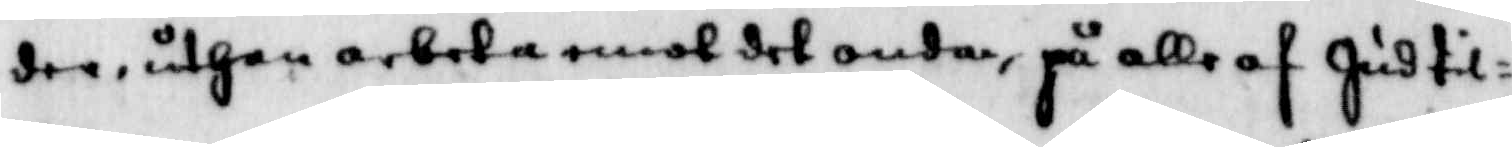der, uthan arbeta emot det onda på alle af Gudtil¬
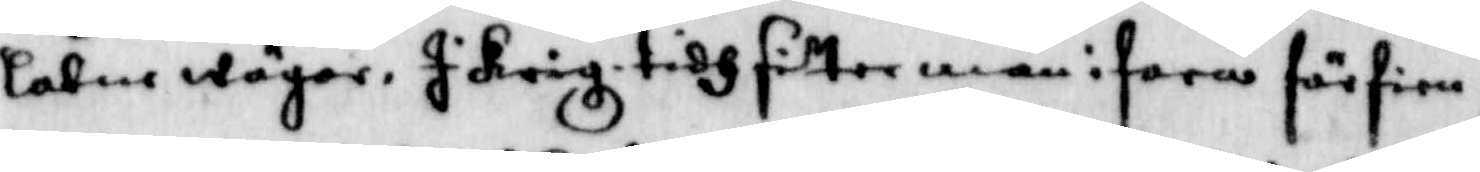låtne wäger skrig tidh sitter man i fara förfien¬
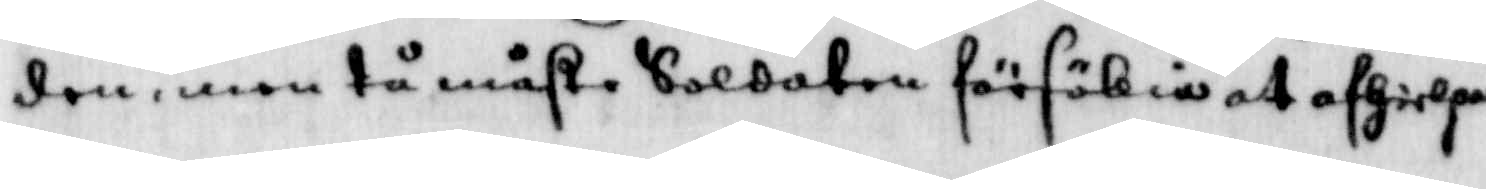den, men tå måste Soldaten förföllia att afhielpa
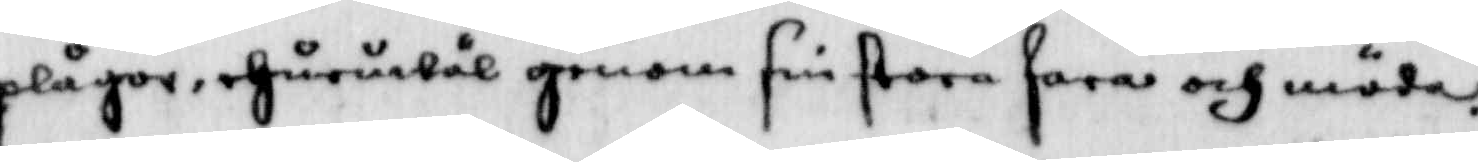plågor, ehuruwäl genom sin stora fara och moda
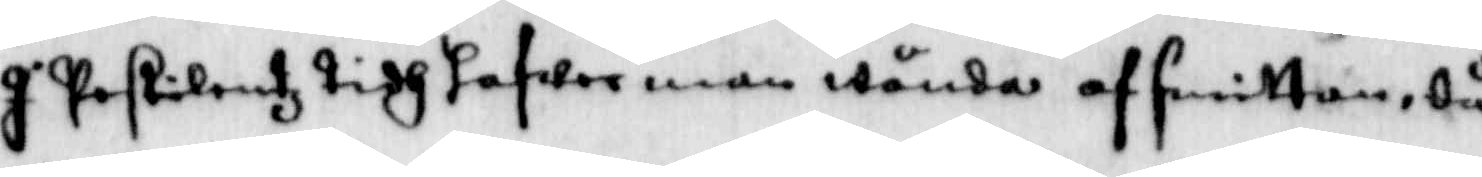I Pestolentz tidh hafwer man wända af smittan, då
